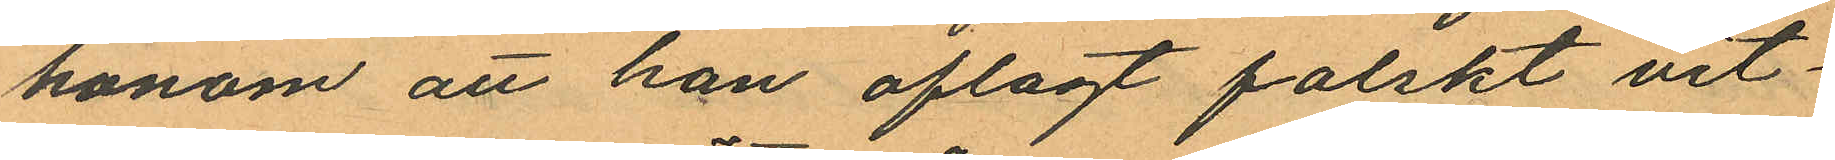honom att han aflagt falskt vit¬
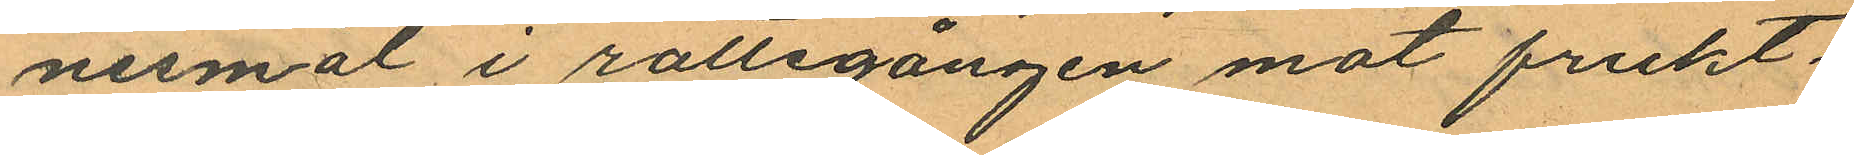nesmål i rättegången mot frukt¬
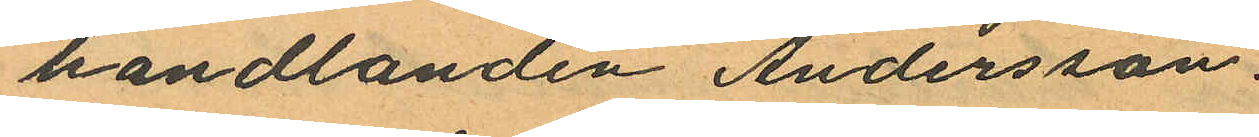handlanden Andersson.
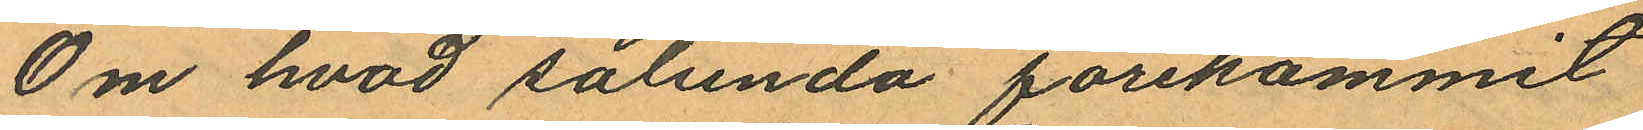Om hvad sålunda förekommit
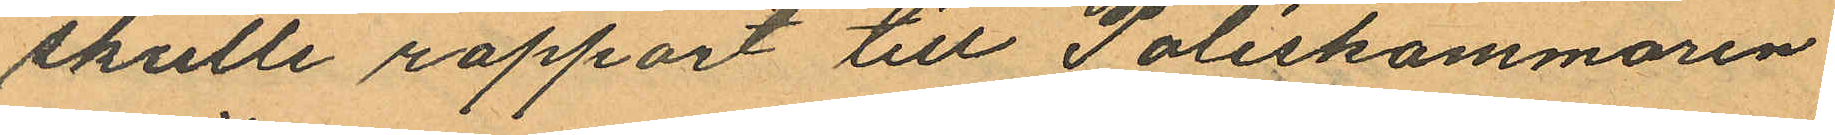skulle rapport till Poliskammaren
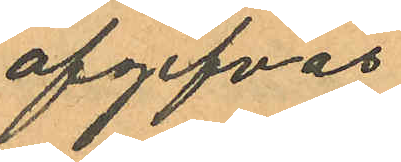afgifvas.
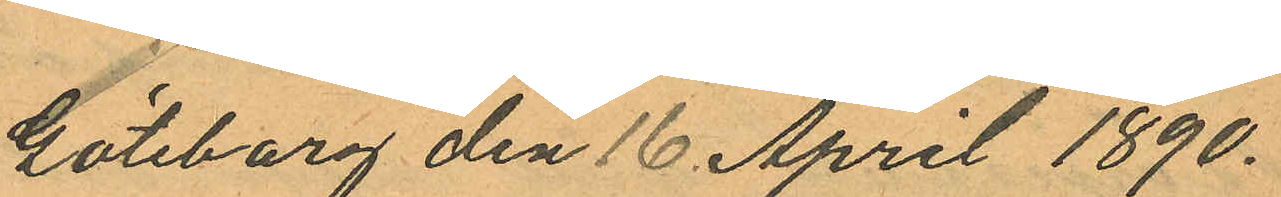Göteborg den 16 April 1890.
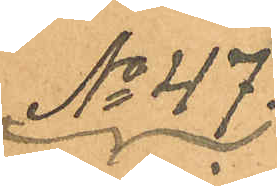No 47.
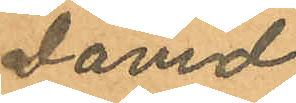David
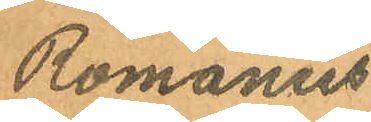Romanus
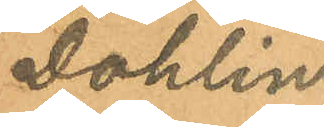Dahlin
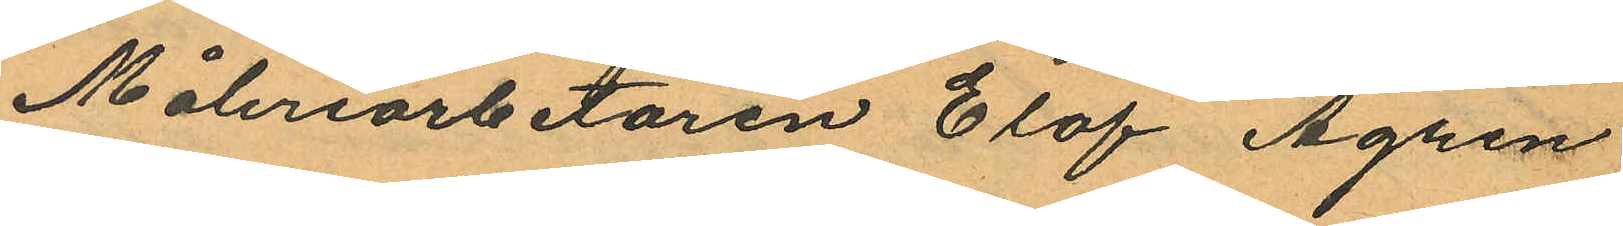Måleriarbetaren Elof Ågren
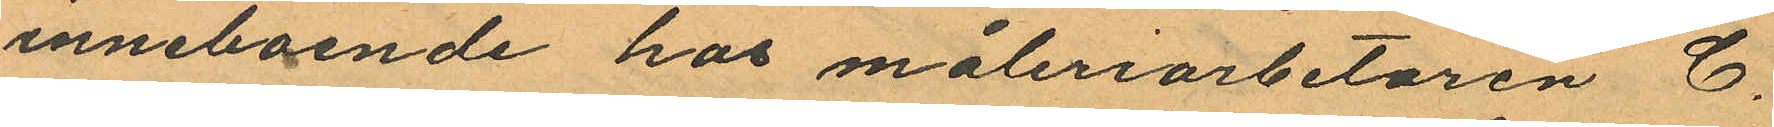inneboende hos måleriarbetaren C.
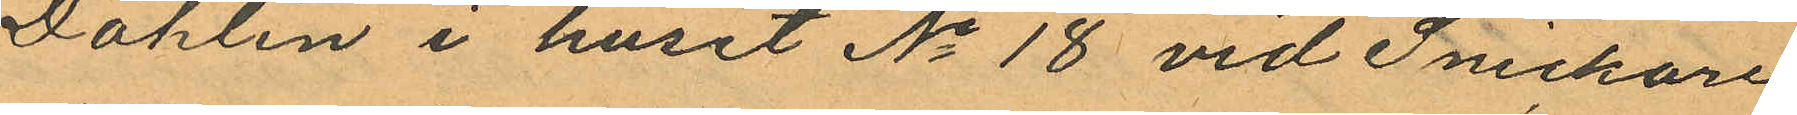Dahlin i huset No 18 vid Snickare
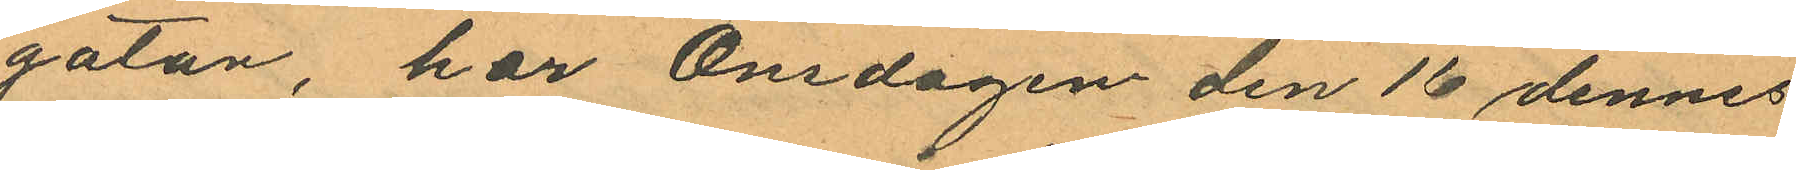gatan, har Onsdagen den 16 dennes
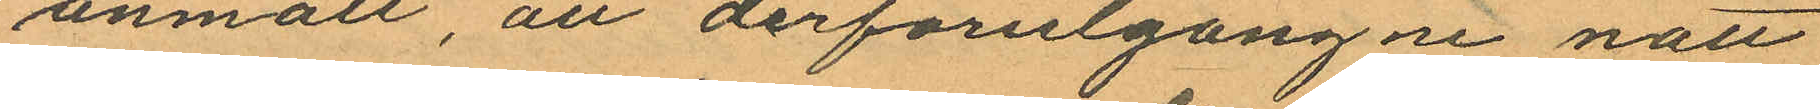anmält, att derförutgångne natt
